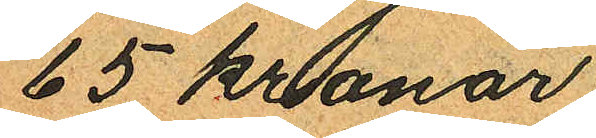65 kronor.
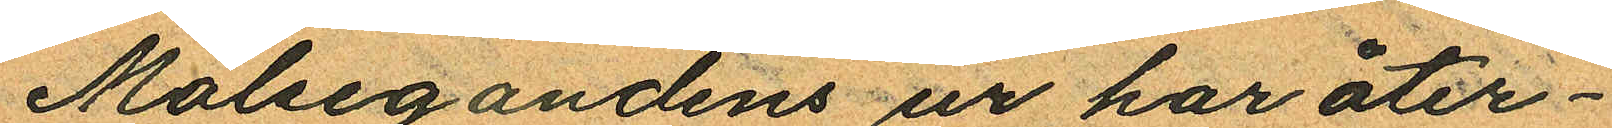Målsegandens ur har åter¬
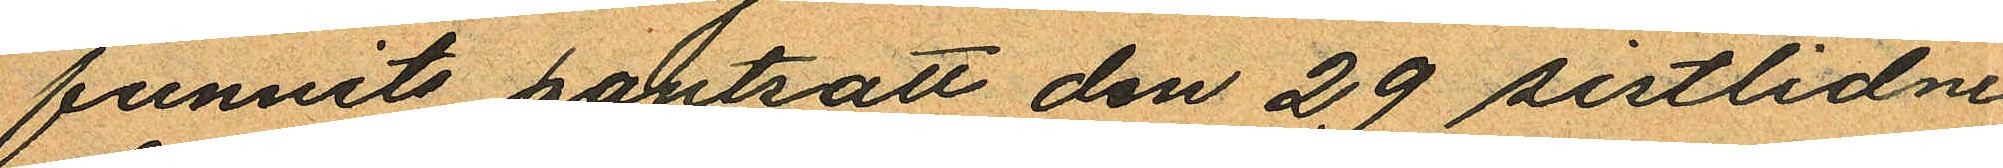funnits pantsatt den 29 sistlidne
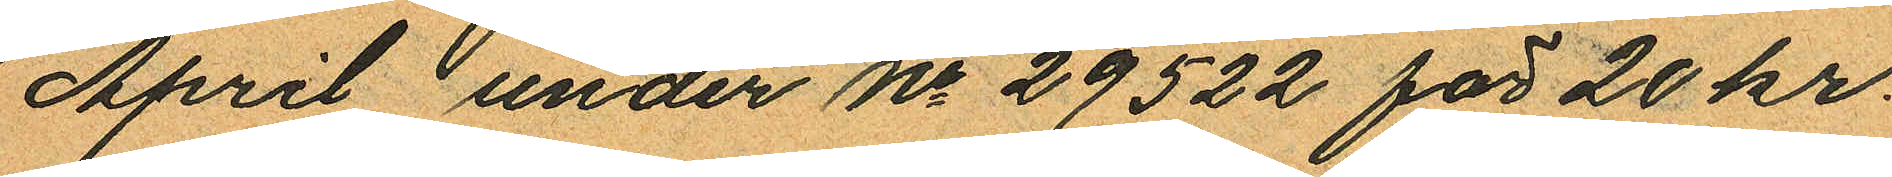April under No 29522 för 20 kr.
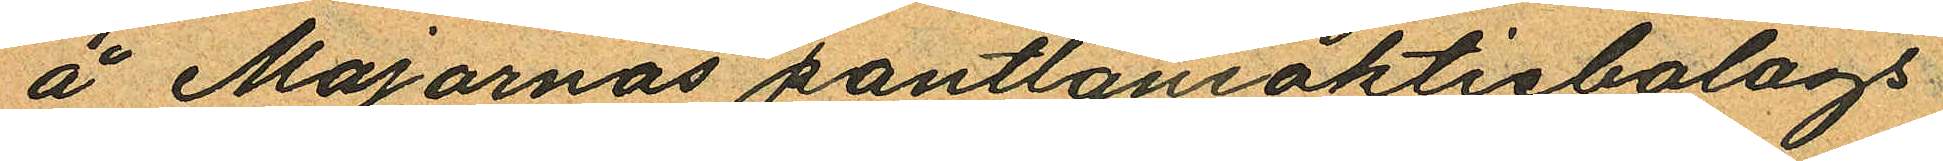å Majornas pantlåneaktiebolags
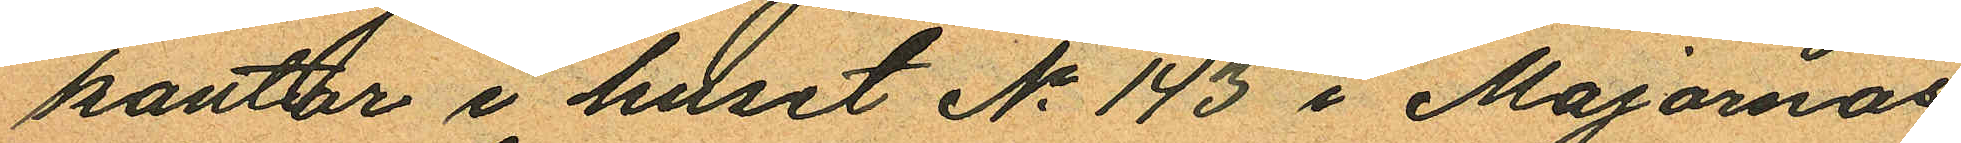kontor i huset No 143 i Majornas
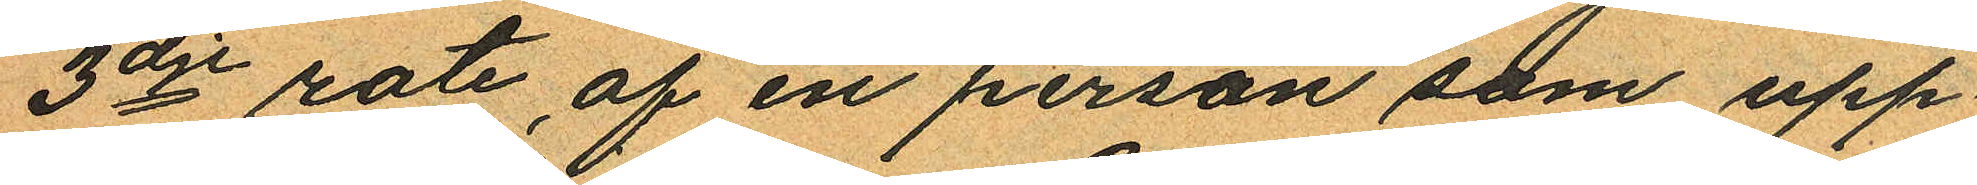3dje rote af en person som upp¬
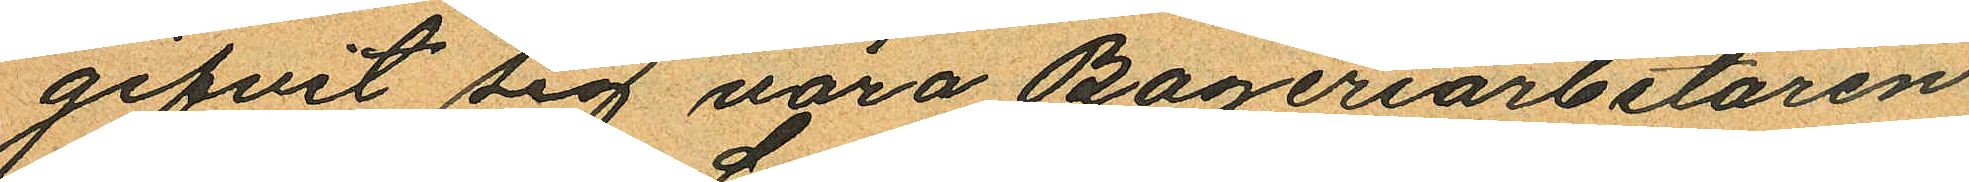gifvit sig vara Bageriarbetaren
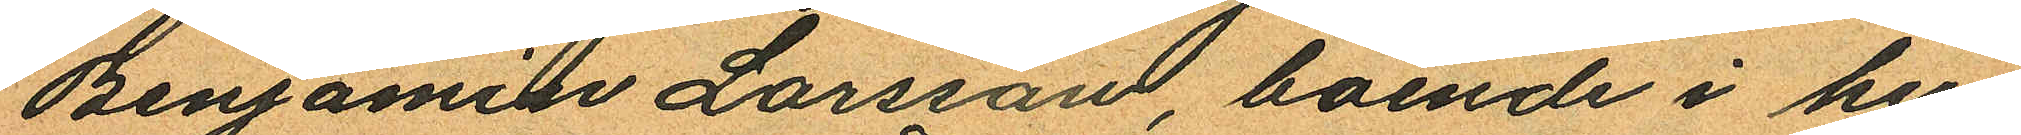Benjamin Larsson, boende i hu
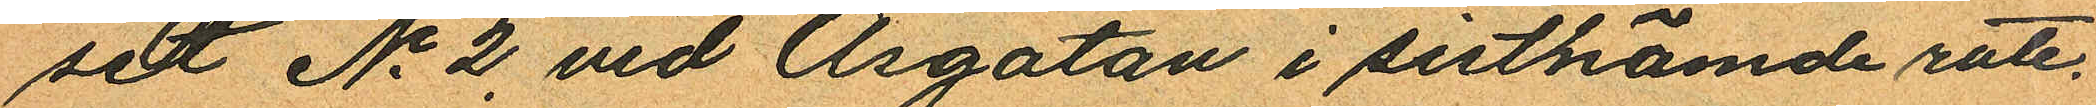set No 2 vid Åsgatan i sistnämde rote.
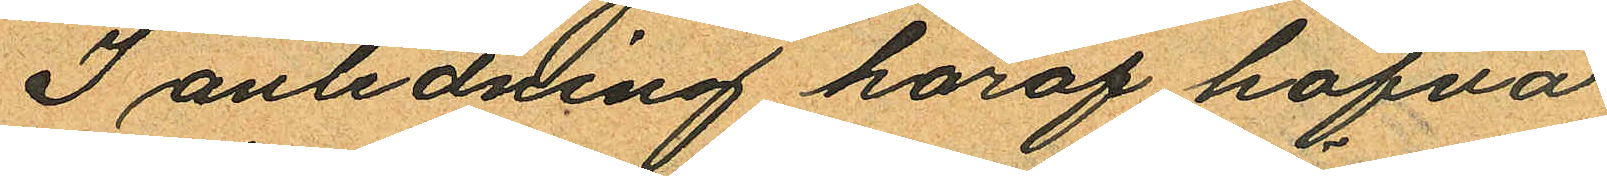I anledning häraf hafva
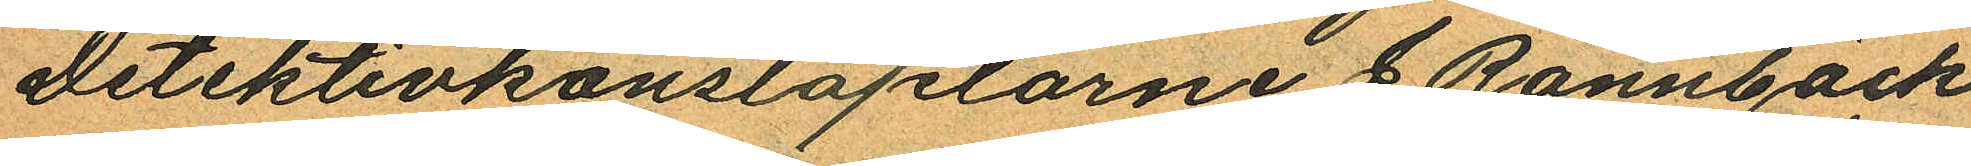Detektivkonstaplarne J. Rönnbäck
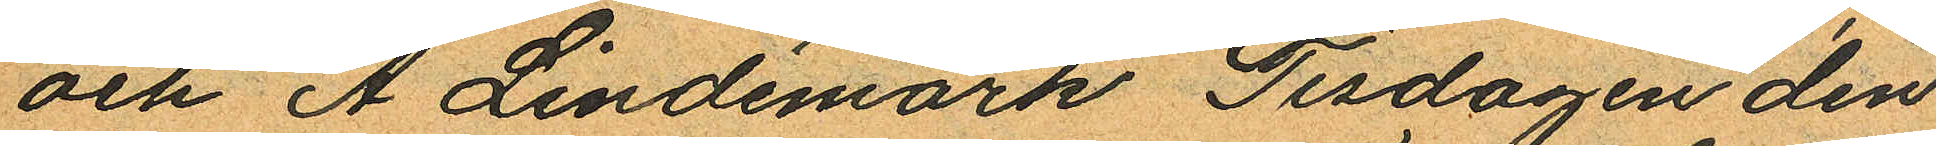och A Lindemark Tisdagen den
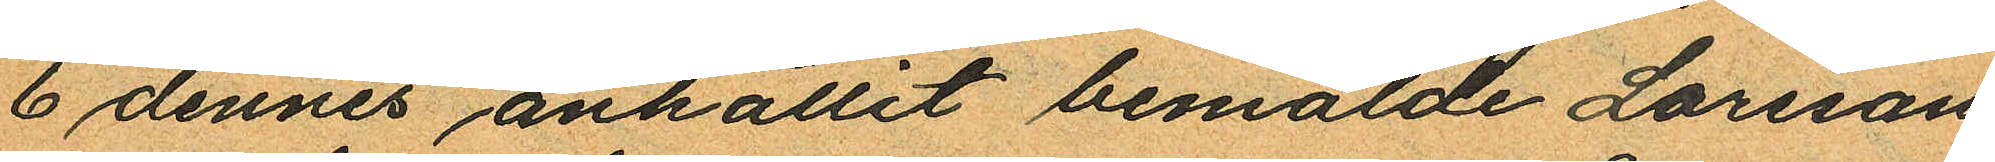6 dennes anhållit bemälde Larsson
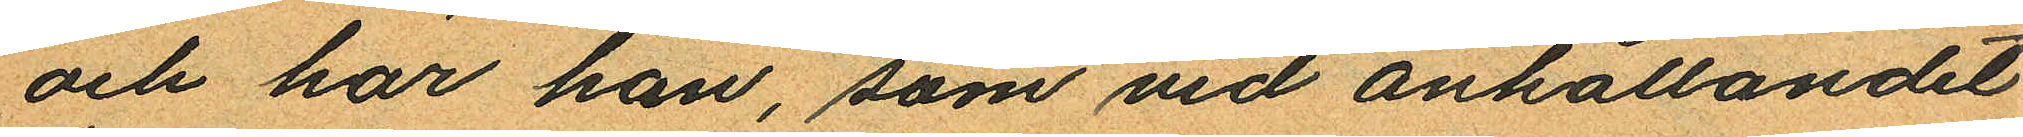och har han, som vid anhållandet
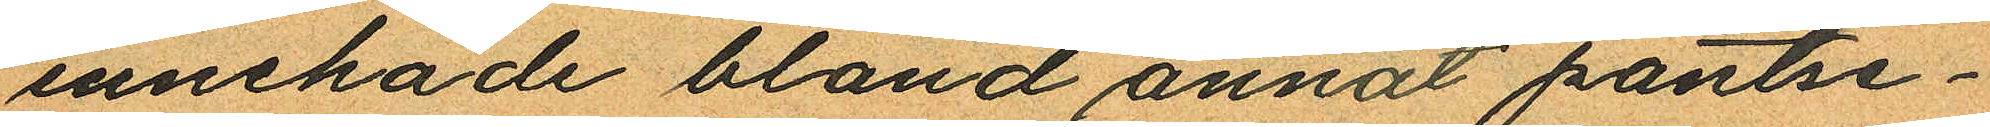innehade bland annat pantse¬
